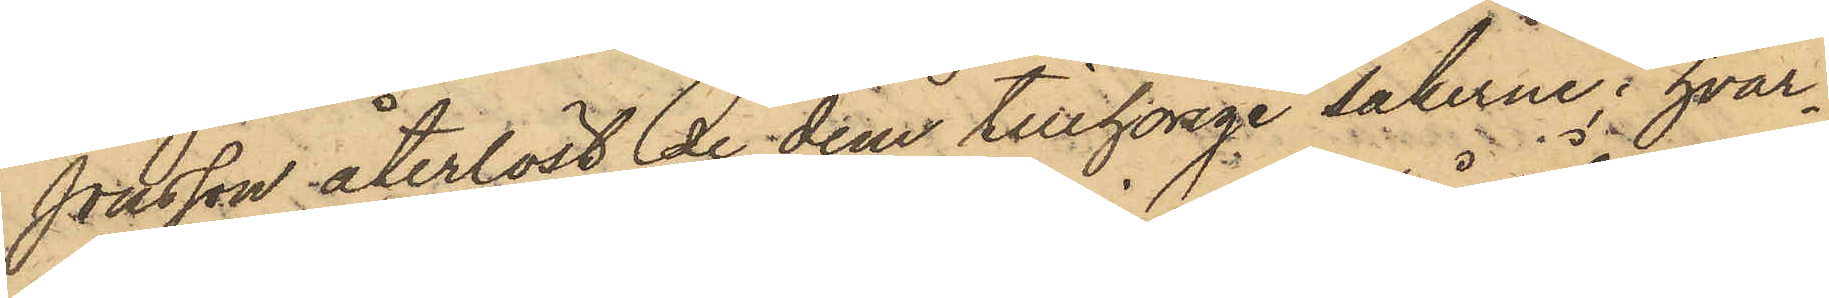Jonsson återlöst de dem tillhörige sakerne; hvar¬
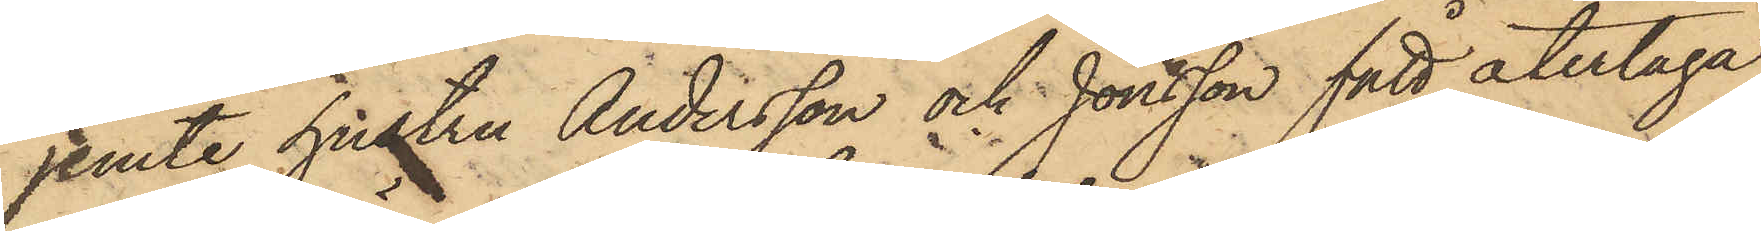jemte hustru Andersson och Jonsson fått återtaga
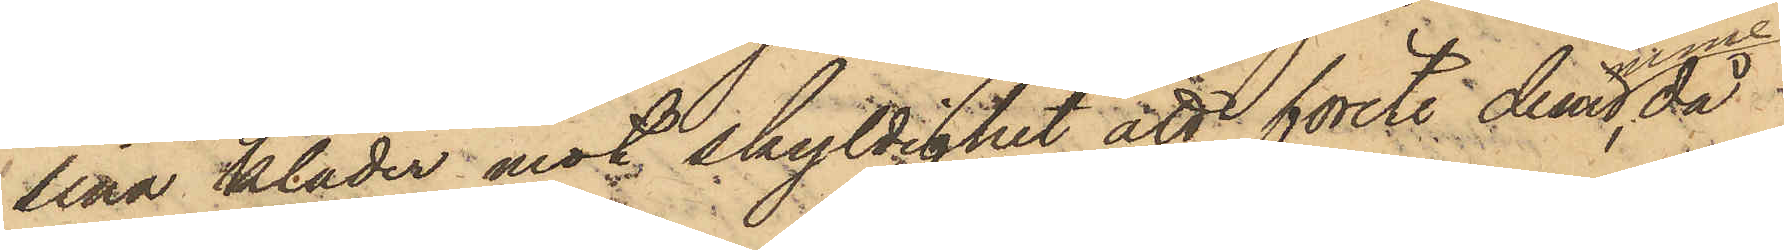sina kläder mot skyldighet att förete desamme, då
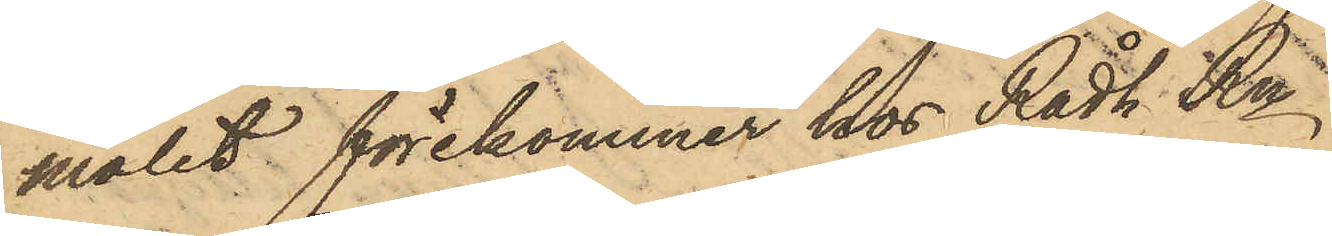målet förekommer hos Rådh. Rn.
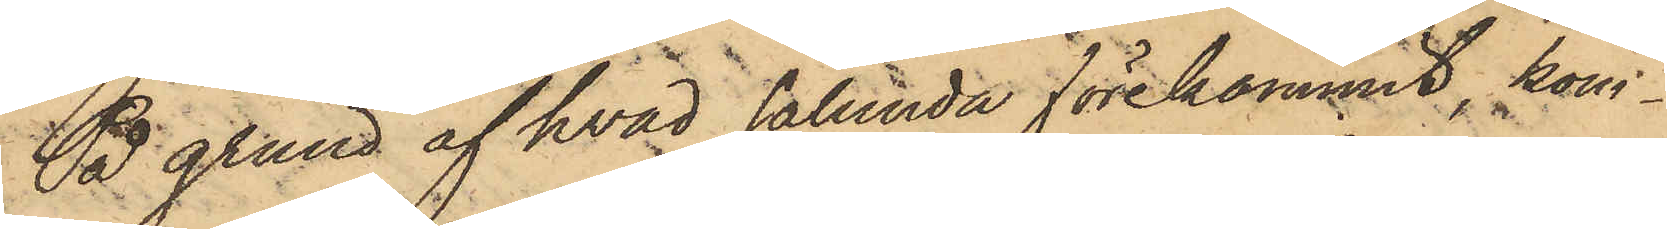På grund af hvad sålunda förekommit, kom¬
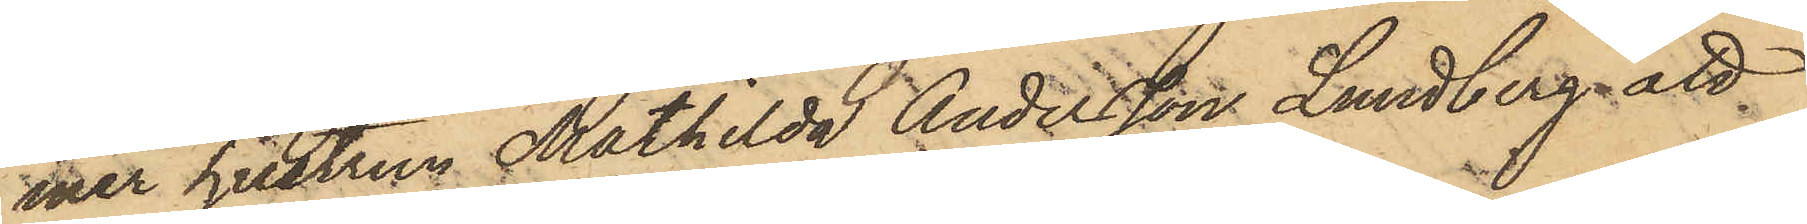mer hustrun Mathilda Andersson Lundberg, att
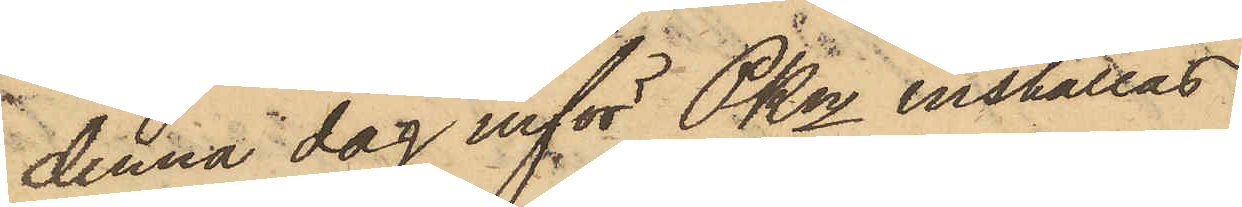denna dag inför Pkn inställas.
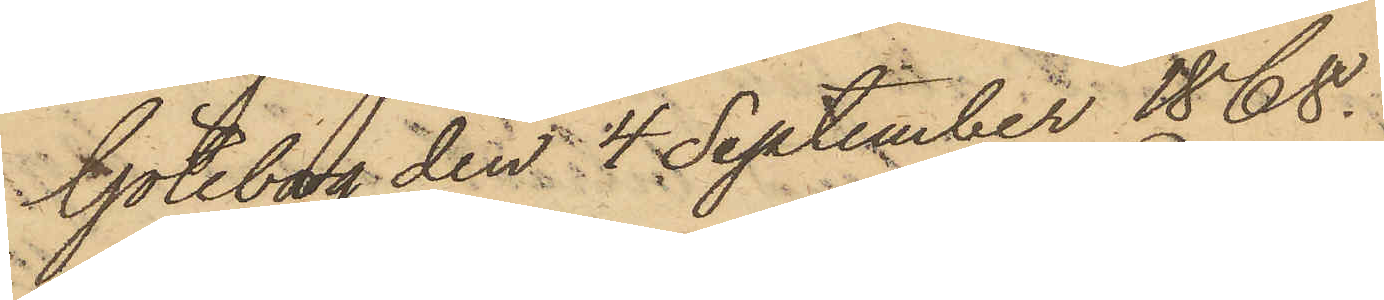Göteborg den 4 September 1868.
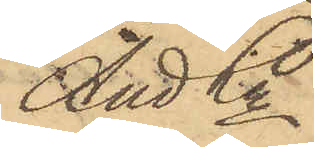And Ln
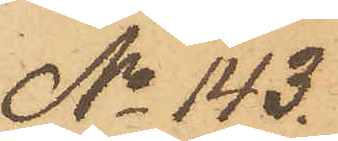No 143.
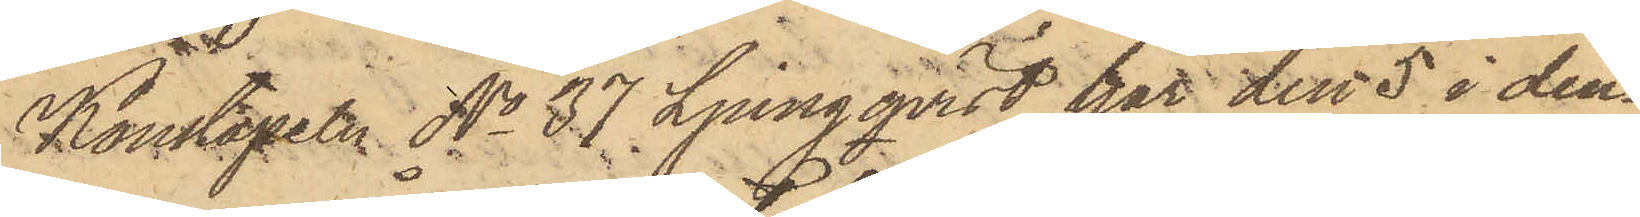Konstapeln No 37 Ljungqvist har den 5 i den¬
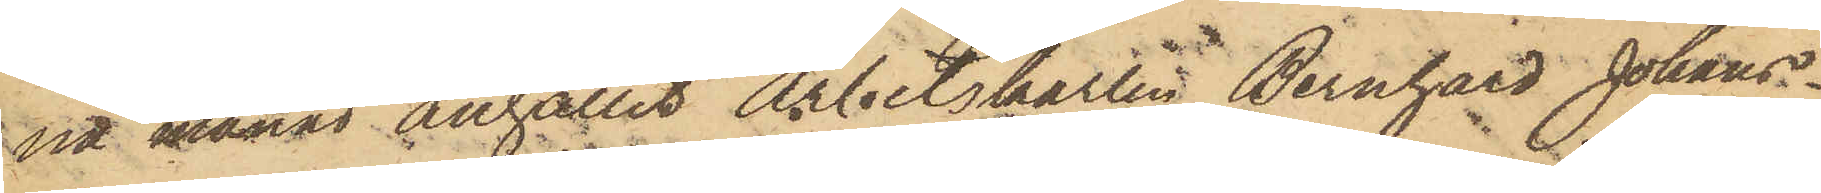na månad anhållit Arbetskarlen Bernhard Johans¬
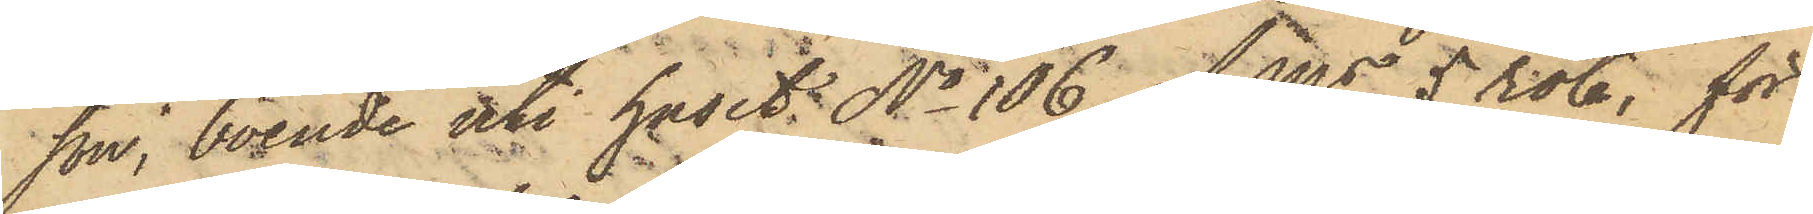son, boende uti huset No 106 af Ms 5 rote, för
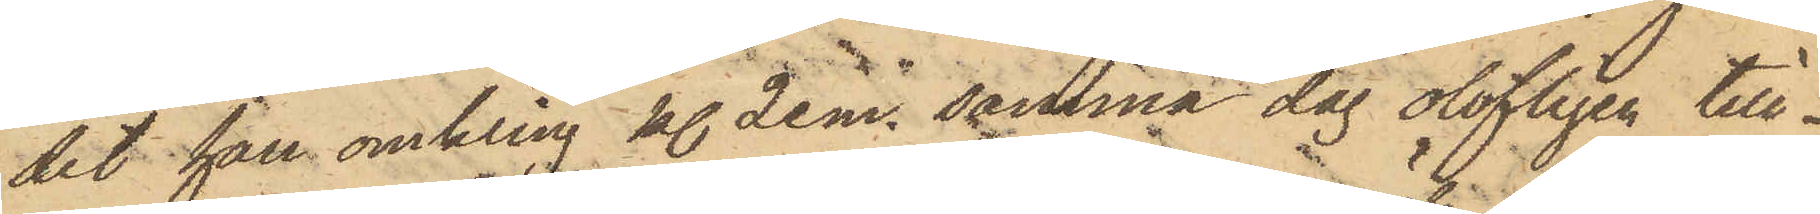det han omkring kl. 2 e. m. samma dag olofligen till¬
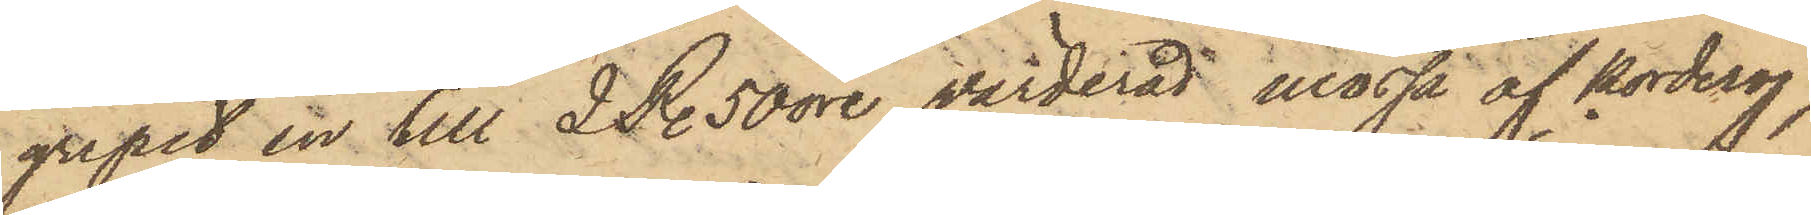gripit en till 2 R. 50 öre värderad mössa af korderoj,
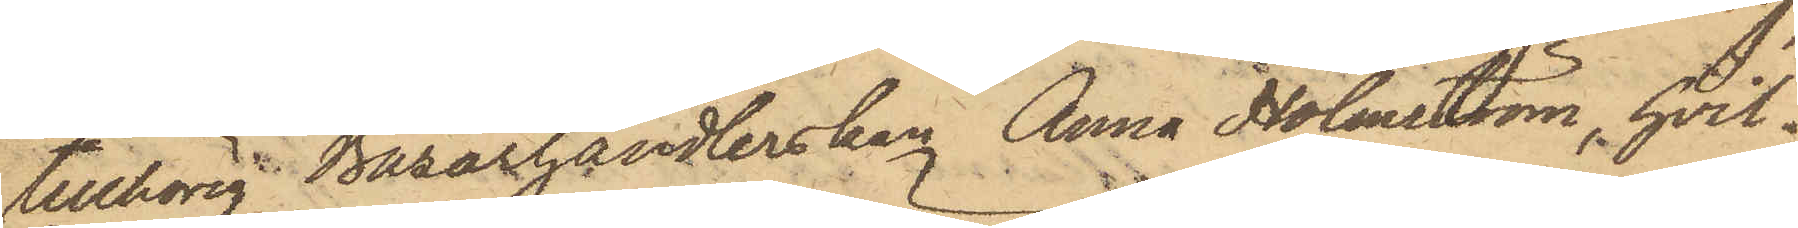tillhörig Bazarhandlerskan Anna Holmström, hvil¬
